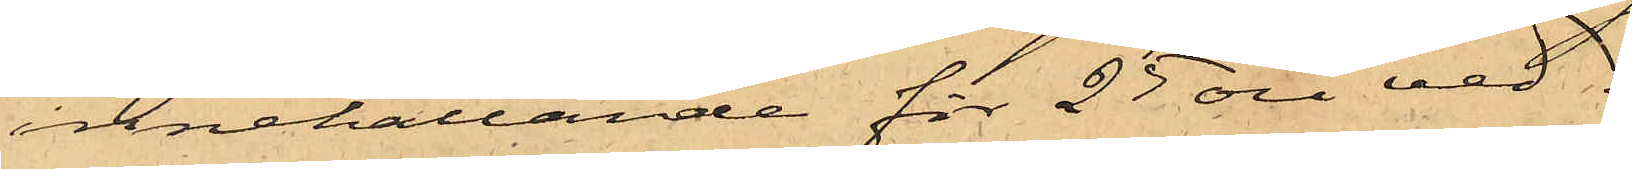innehållande för 25 öre ved.
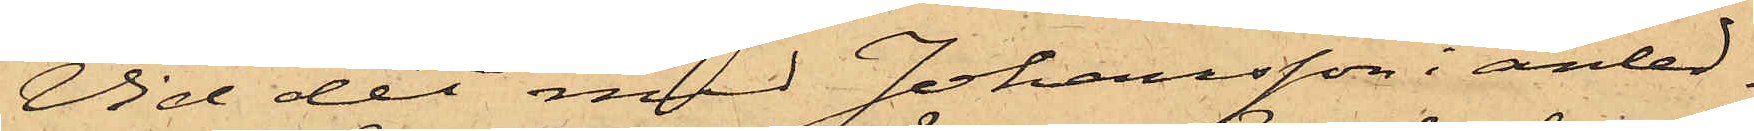Vid det med Johansson i anled¬
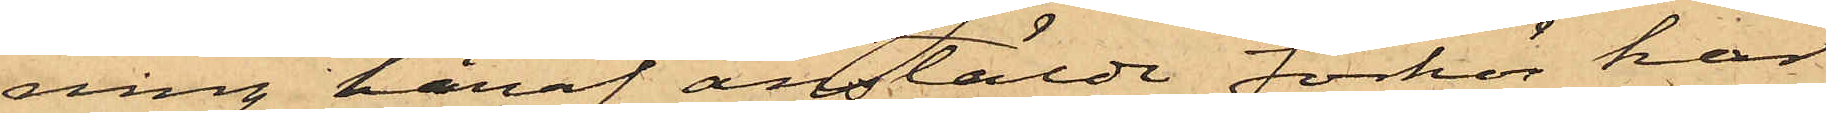ning häraf anstälde förhör har
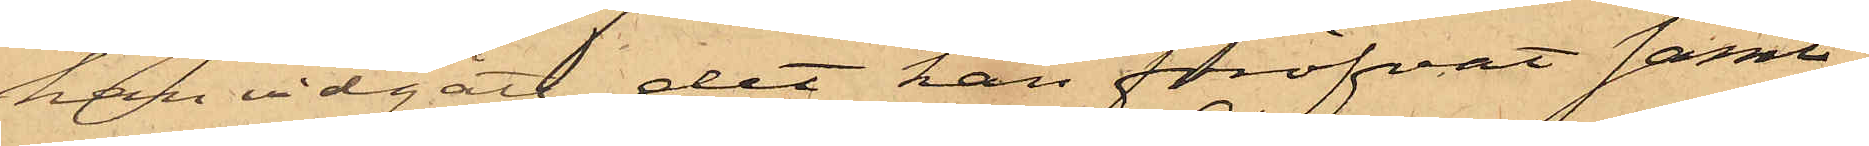han vidgått det han föröfvat samt¬
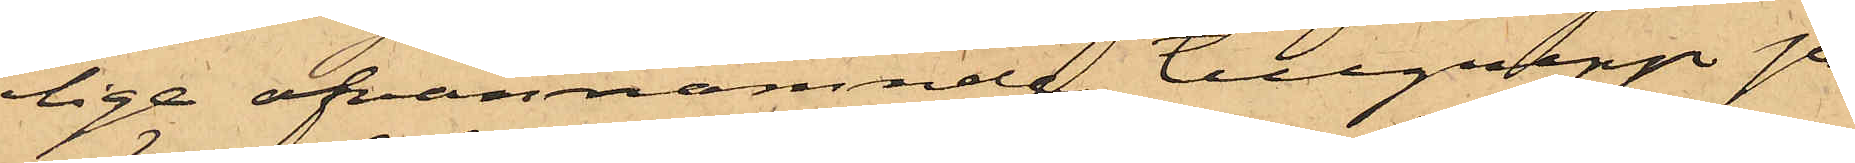lige ofvannämnde tillgrepp på
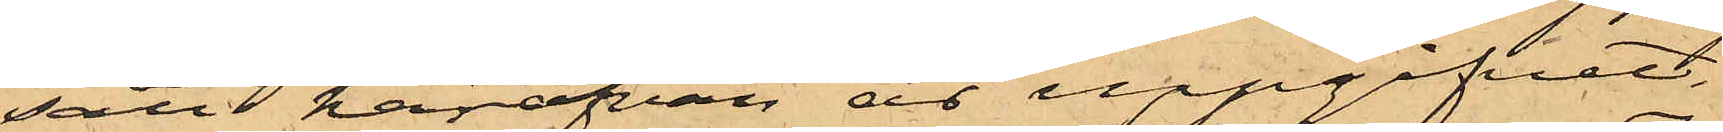sätt härofvan är uppgifvet.
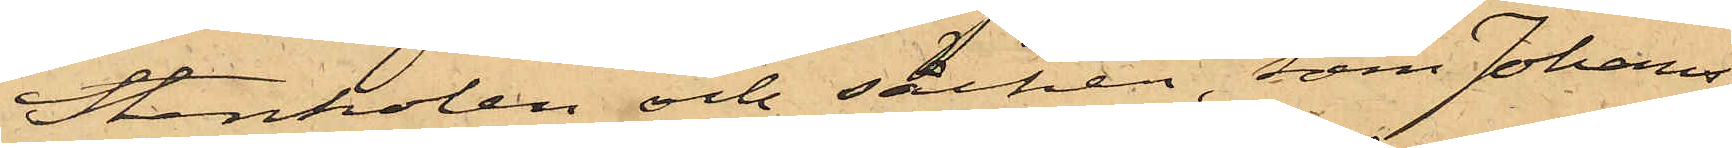Stenkolen och säcken, som Johans¬
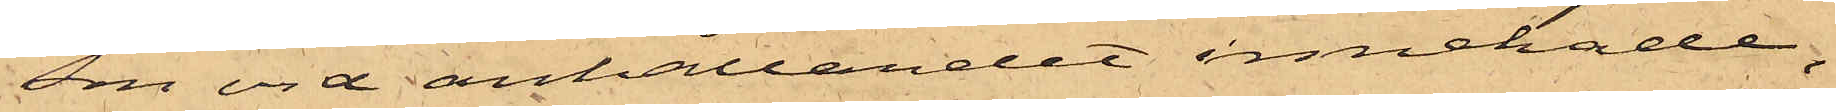son vid anhållandet innehade,
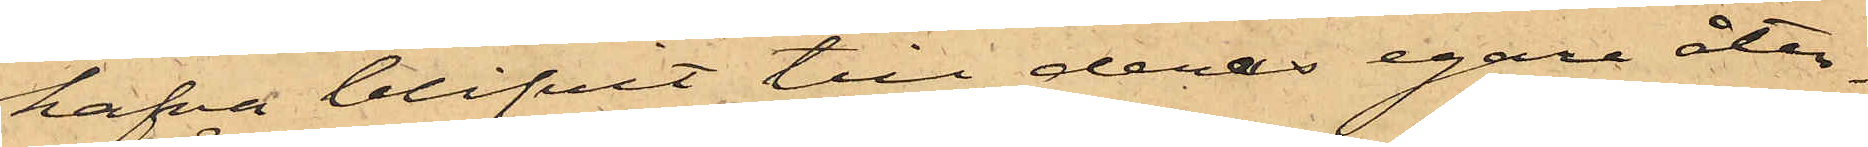hafva blifvit till deras egare åter¬
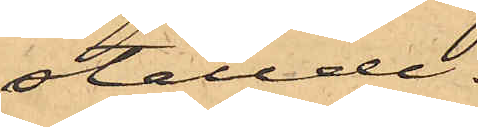ställde.
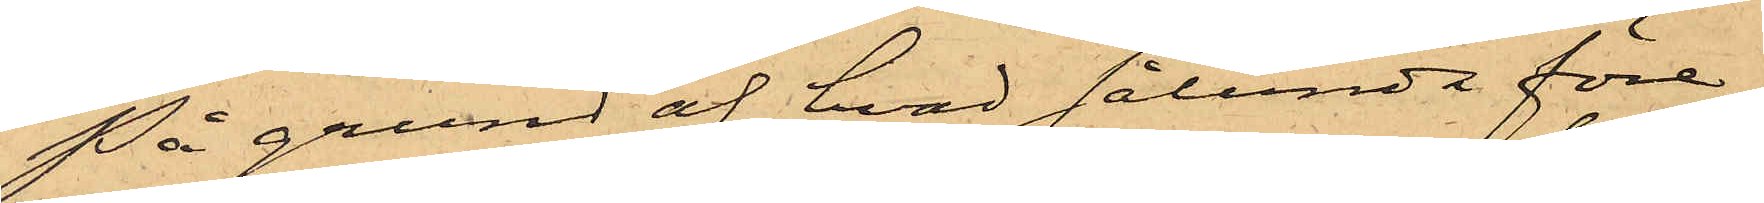På grund af hvad sålunda före¬
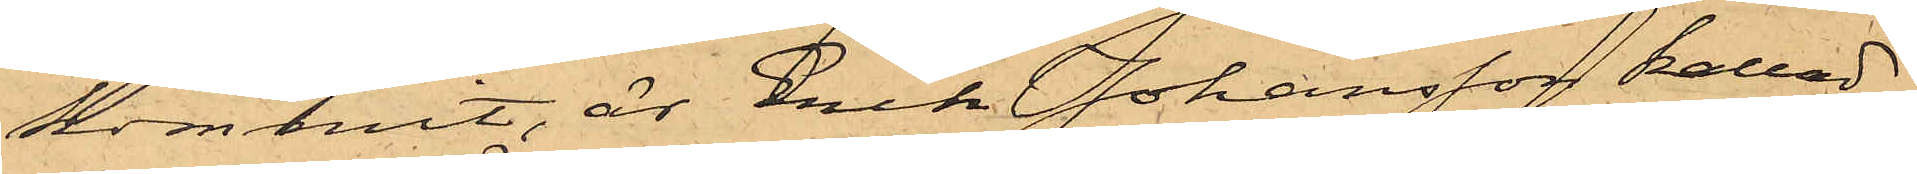kommit, är Erik Johansson kallad
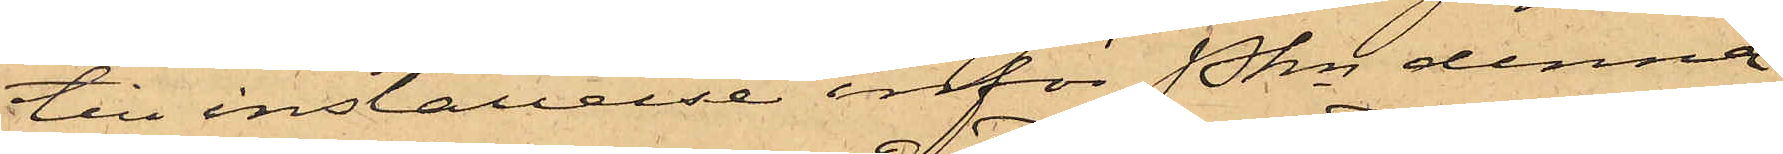till inställelse inför Pkn denna
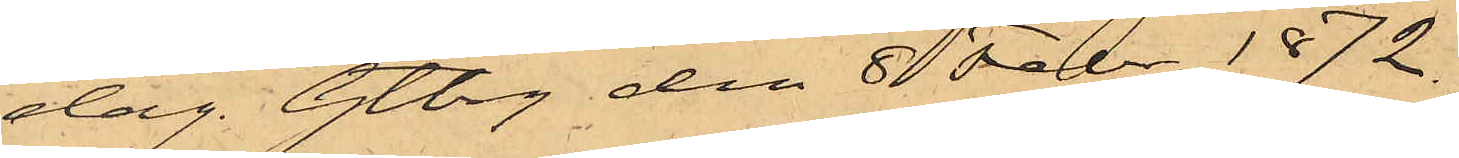dag. Gtbrg den 8 Febr. 1872.
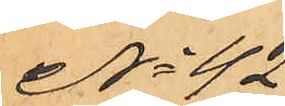No 42
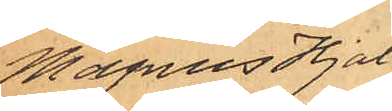Magnus Hjal¬
